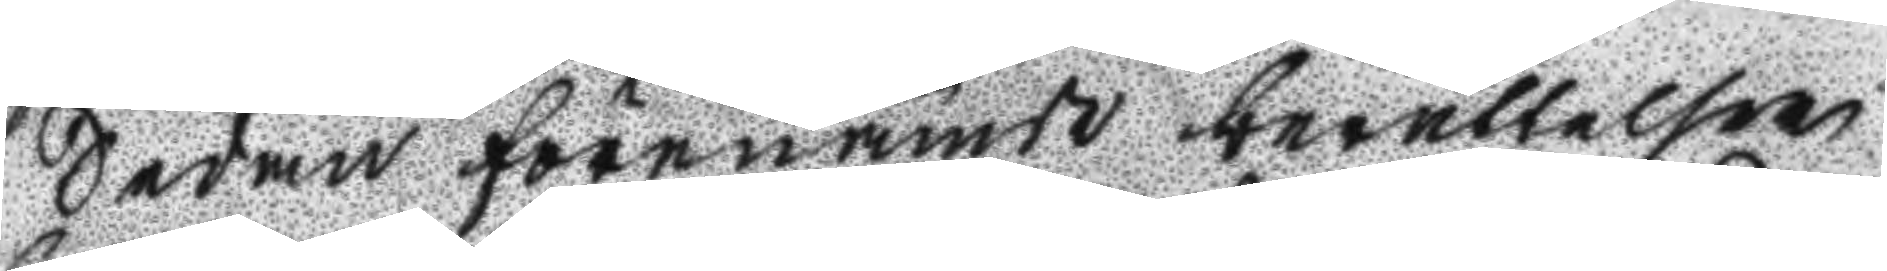Sedan förenämde berättelser
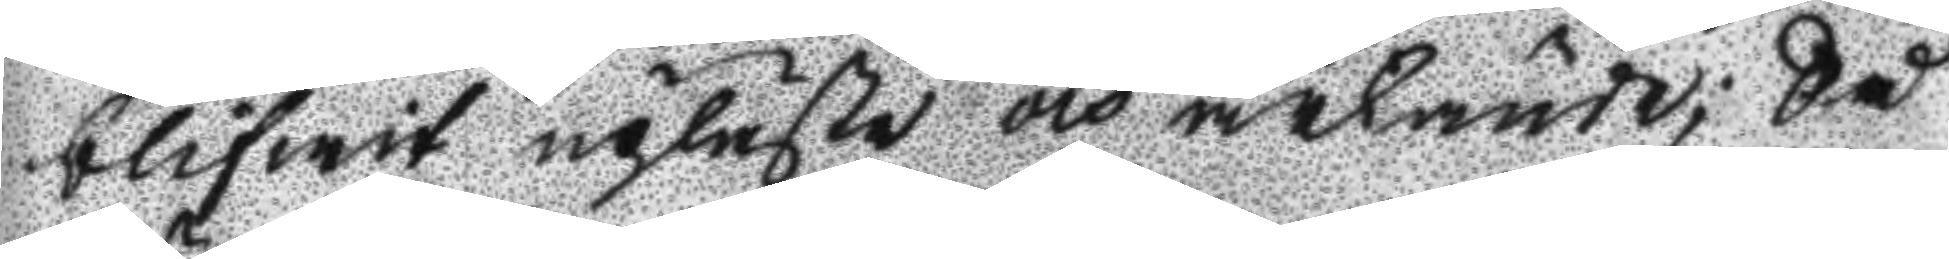blifwit upläste och ärkände; Så
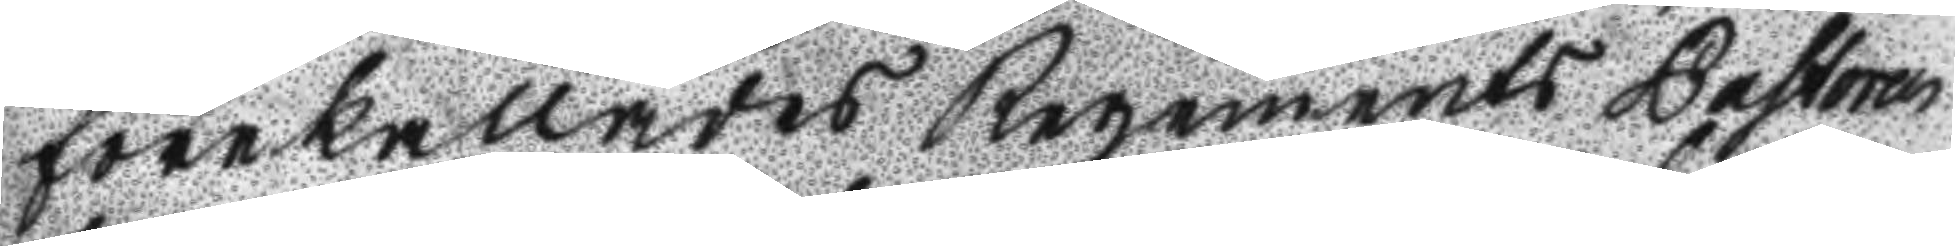förekallades Regements Pastoren
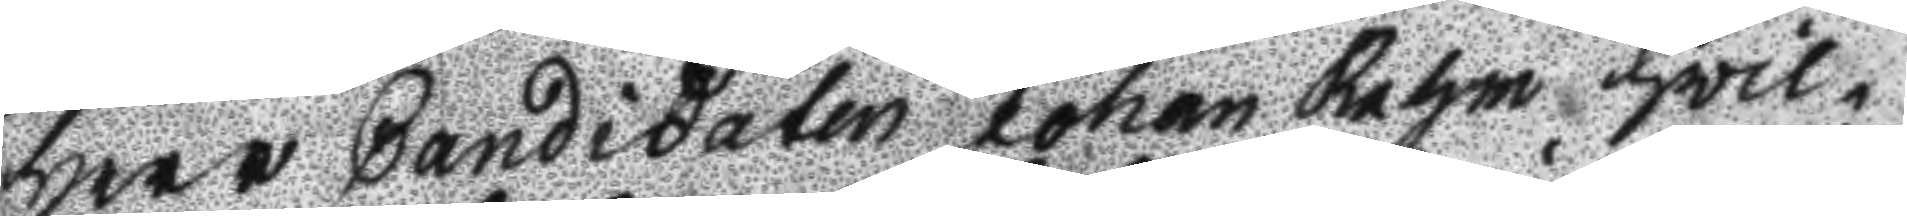Herr Candidaten Johan Rahm hwil¬
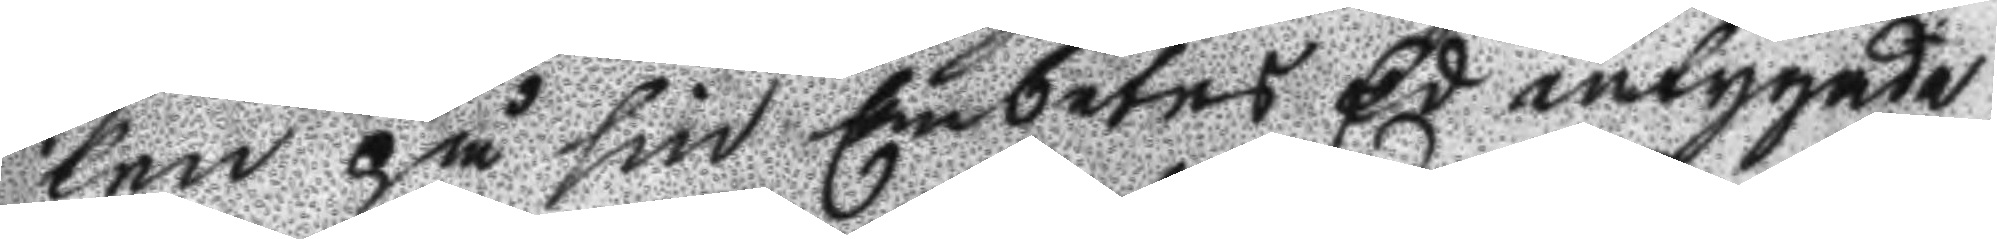ken på sin Embetes Ed intygade
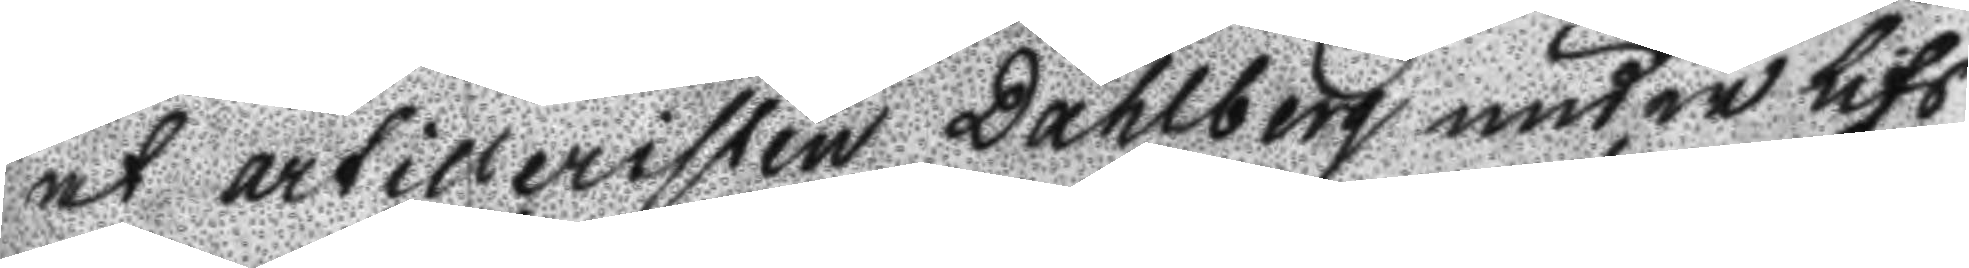at artilleristen Dahlberg under lifs
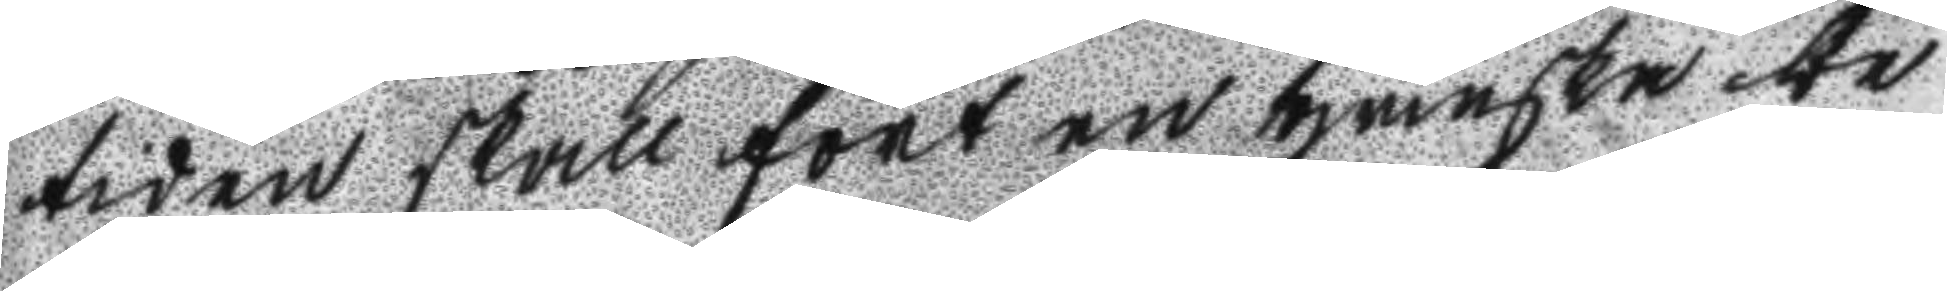tiden skall fört en ganska be
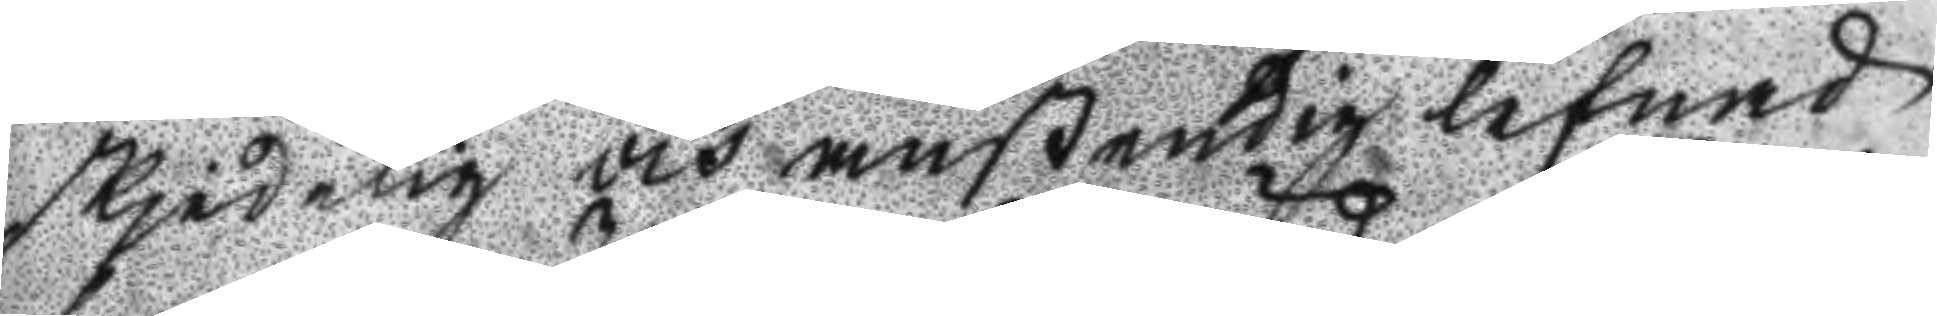skjedelig och anstendig lefnad
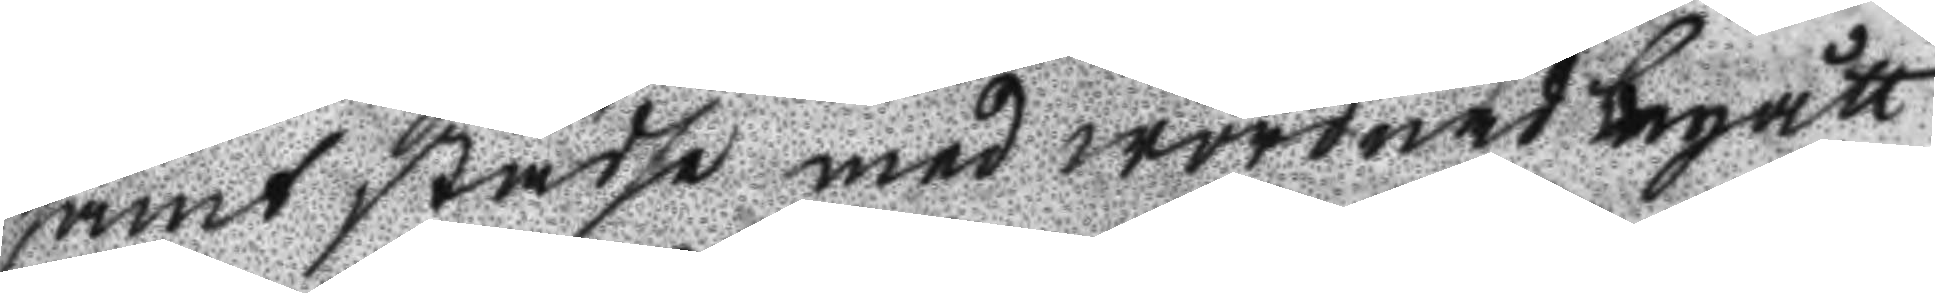samt städse med wördnad begått
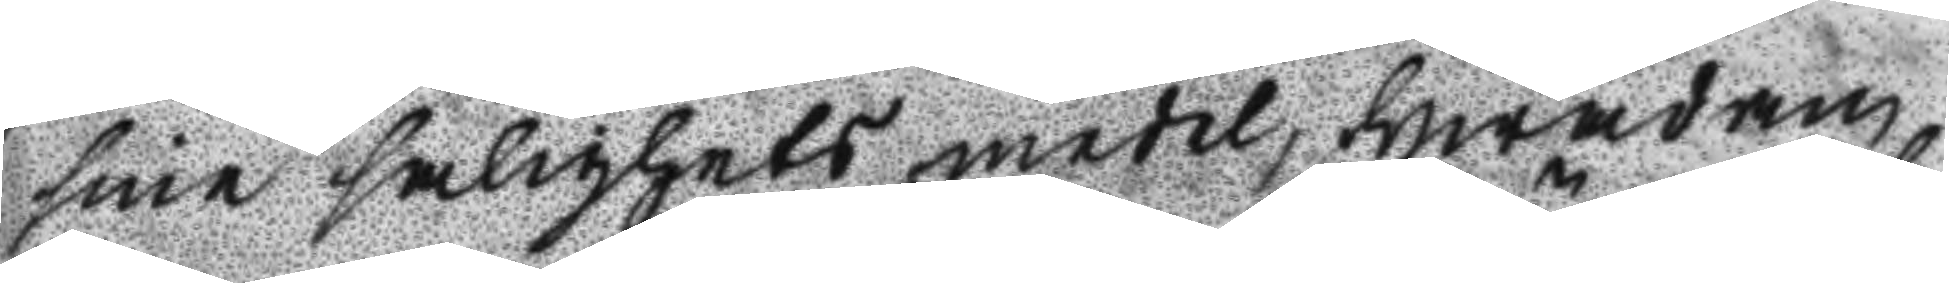sine salighets medel hwadan
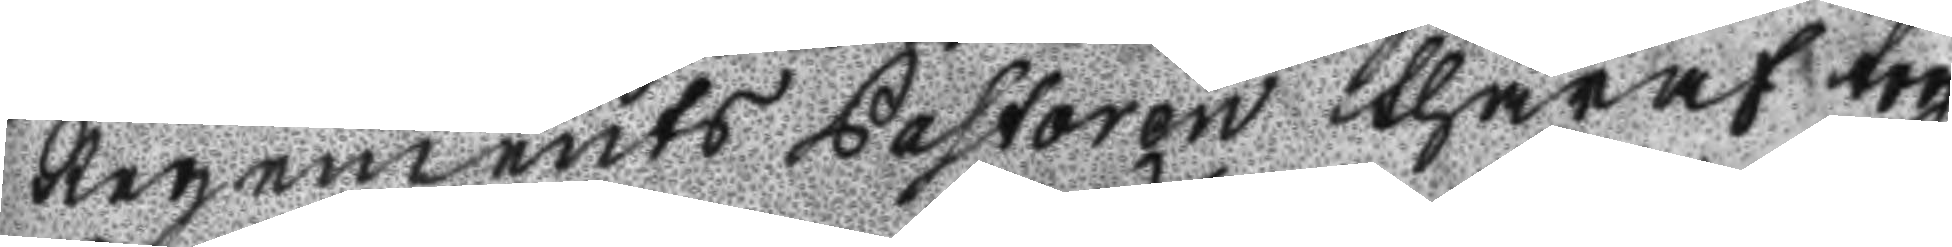Regements Pastoren thäraf tog
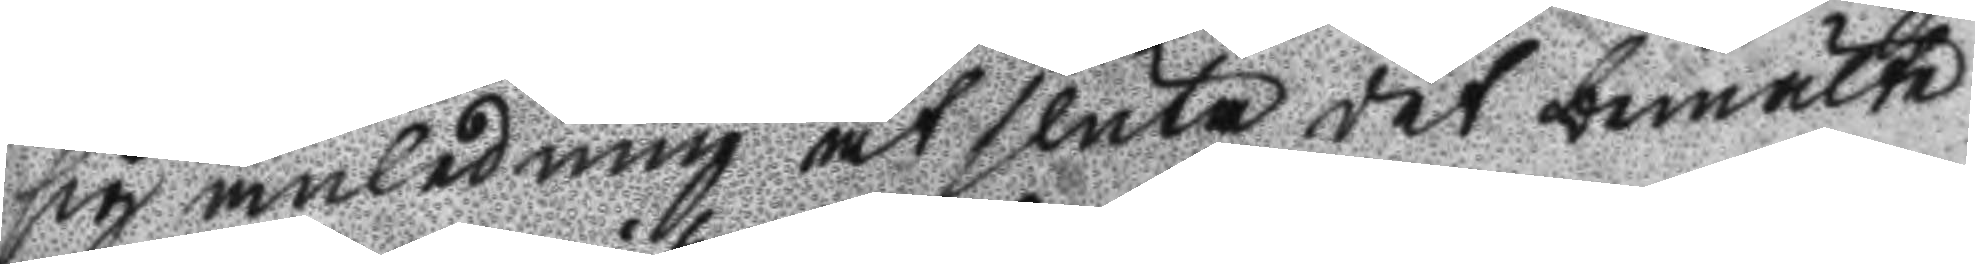sig anledning at sluta det bemälte
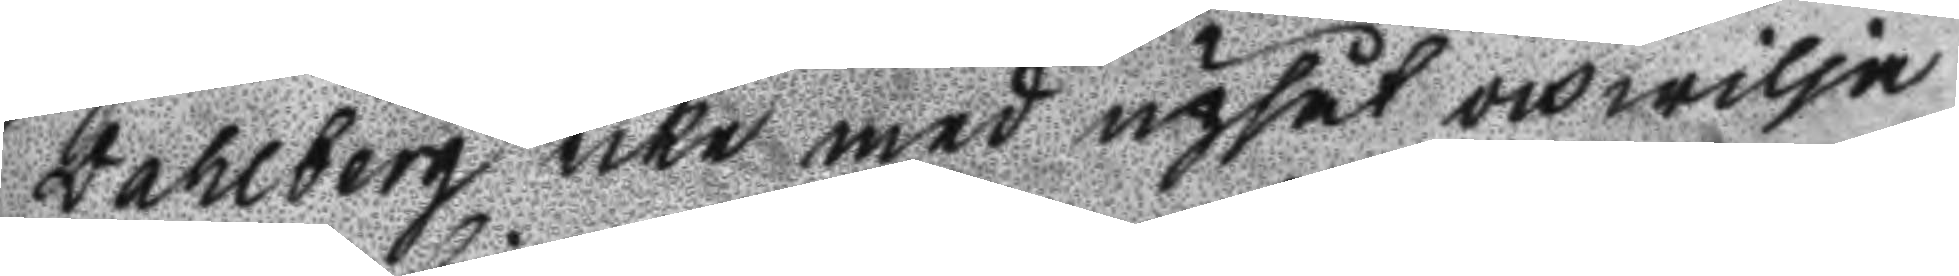Dahlberg icke med upsåt och wilja
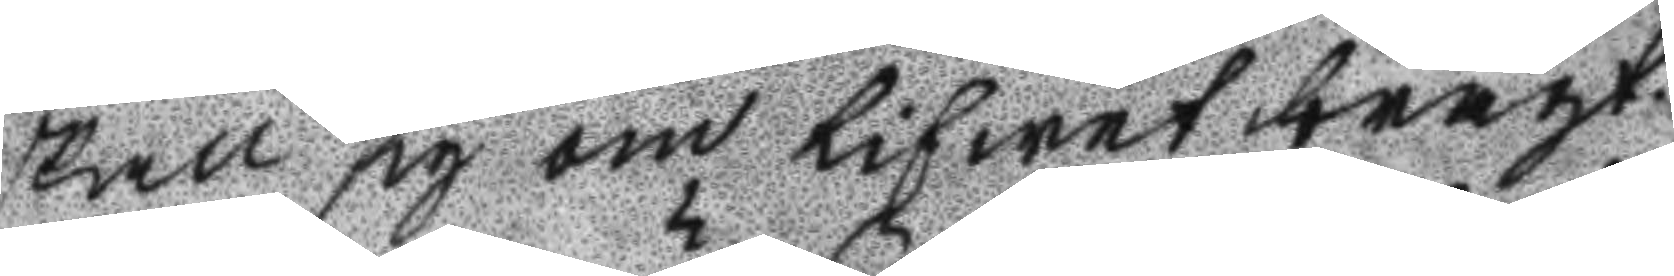skall sig om lifwet bragt.
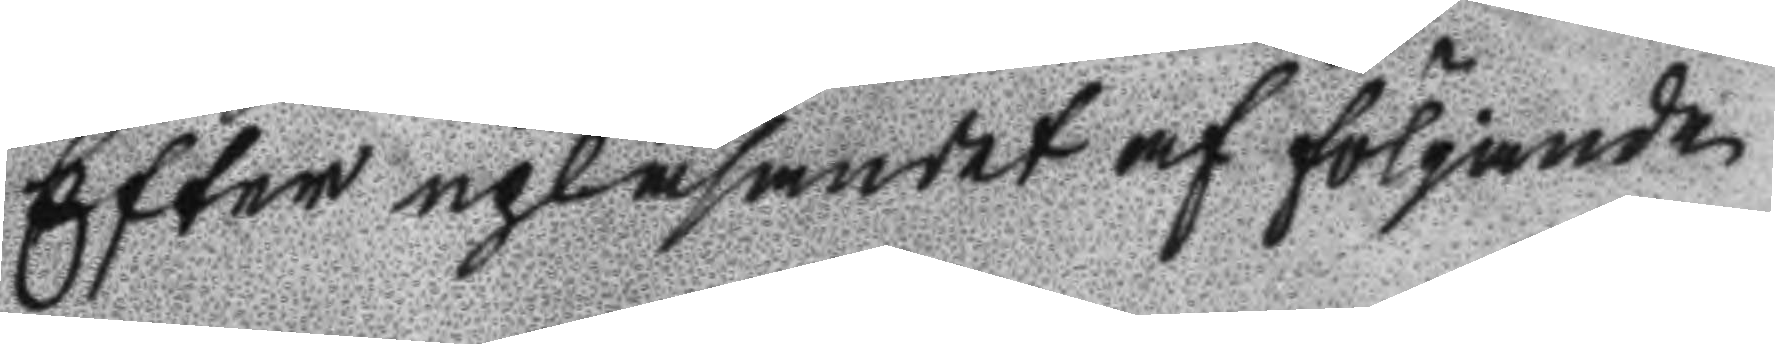Efter upläsandet af följande
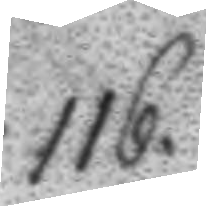116.
